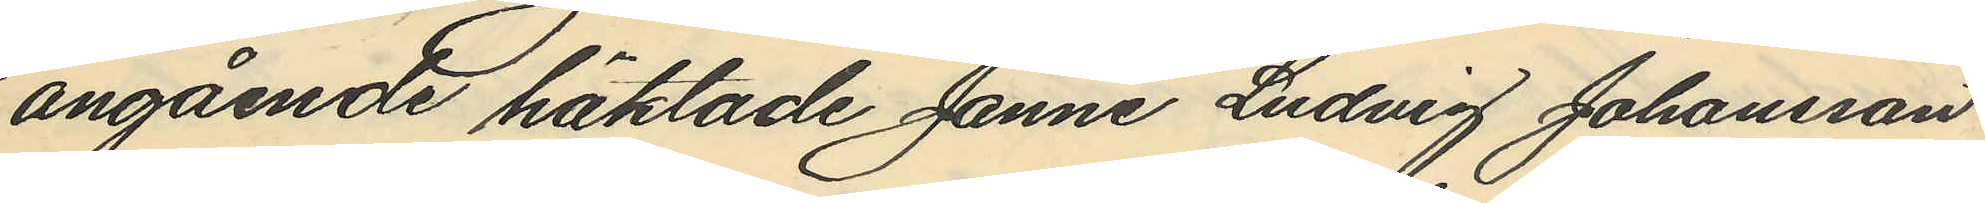angående häktade Janne Ludvig Johansson
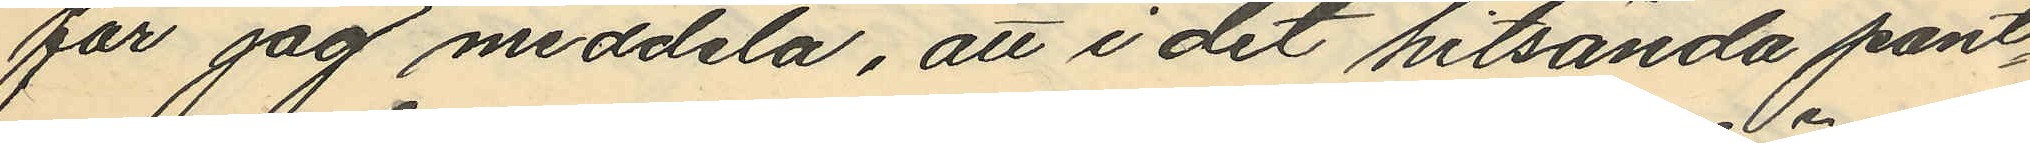får jag meddela, att i det hitsända pant¬
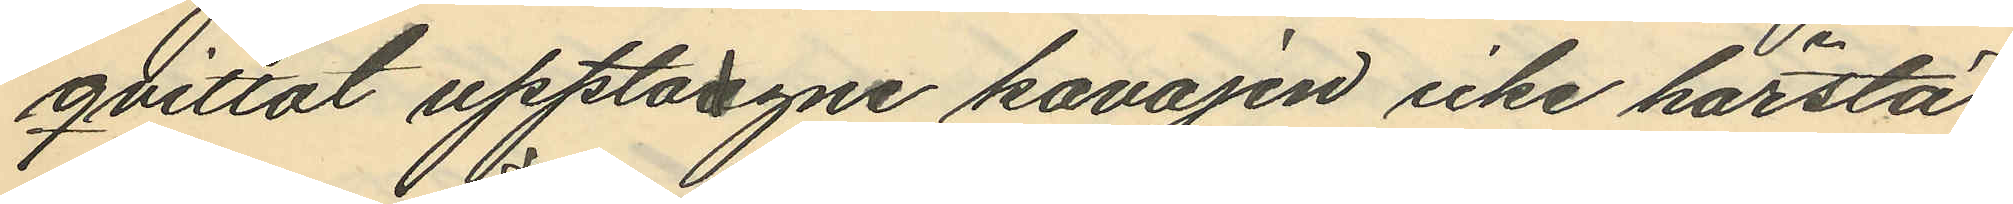qvittot upptagne kavajen icke härstä¬
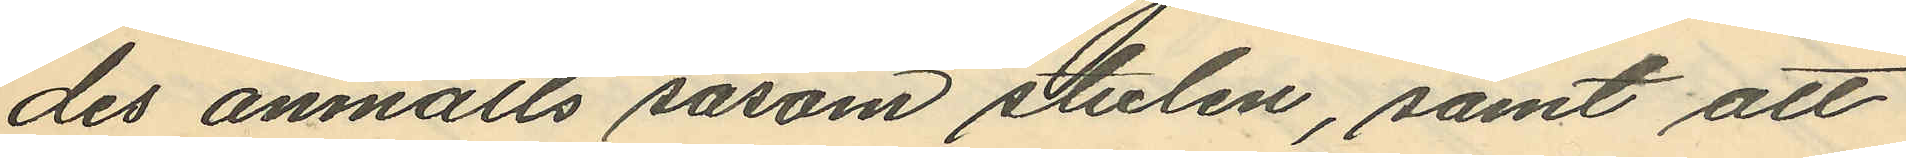des anmälts såsom stulen, samt att
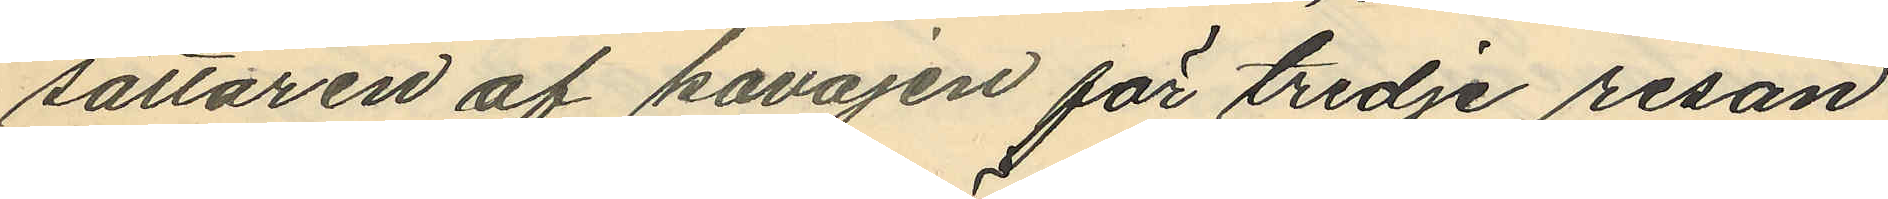sättaren af kavajen för tredre resan
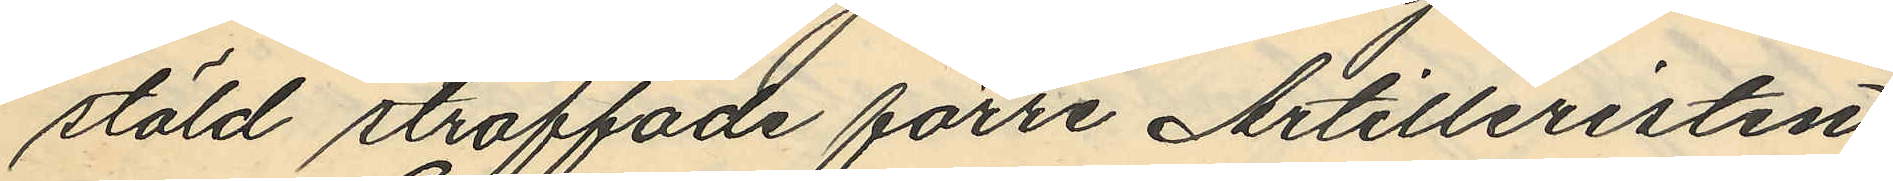stöld straffade förre Artilleristen
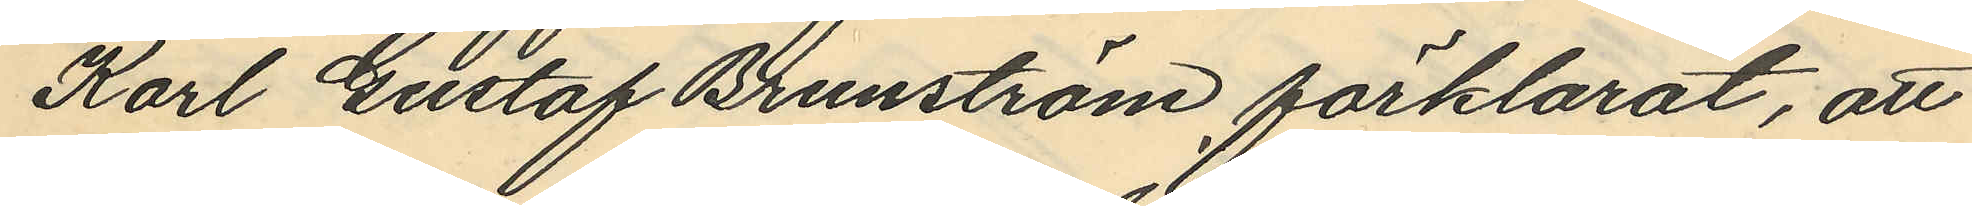Karl Gustaf Brunström förklarat, att
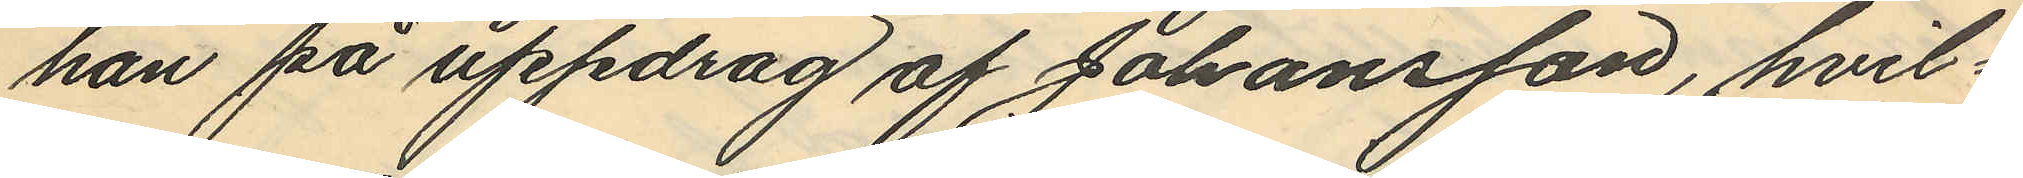han på uppdrag af Johansson, hvil¬
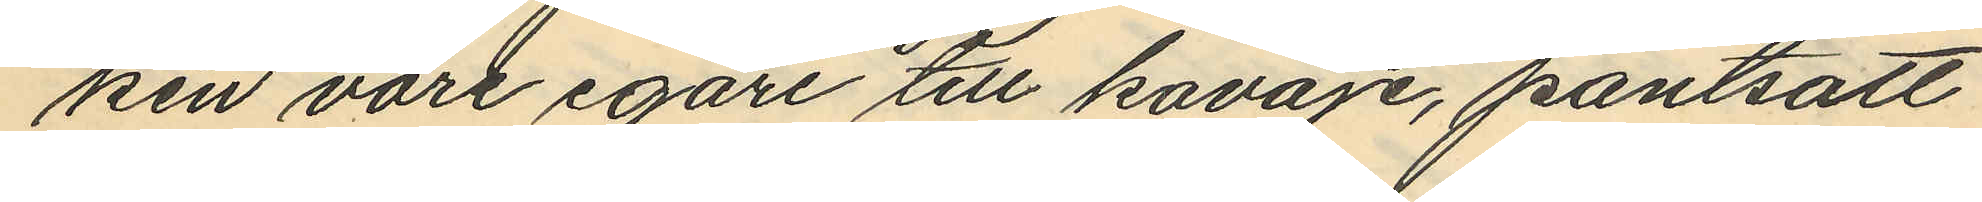ken vore egare till kavaje, pantsatt
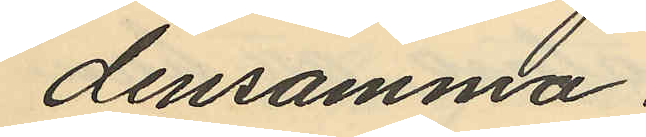densamma.
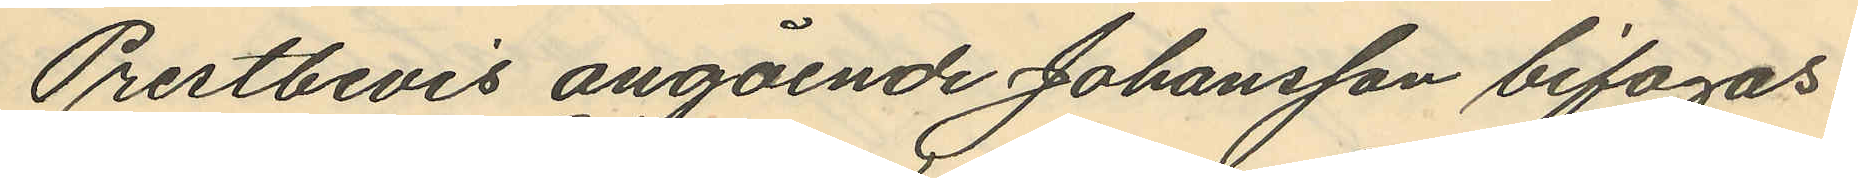Prestbevis angående Johansson bifogas.
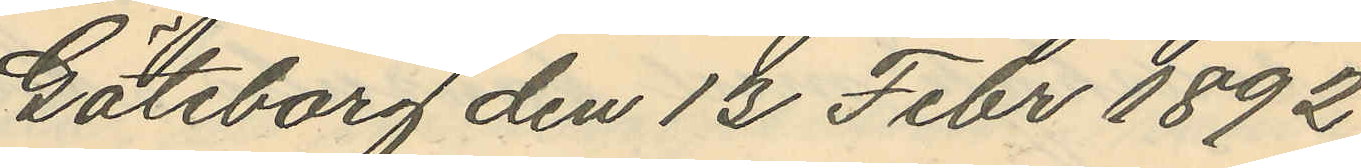Göteborg den 13 Febr 1892.
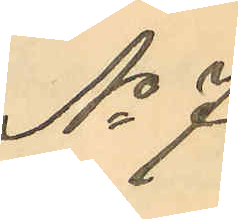No 7
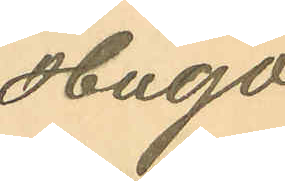Hugo
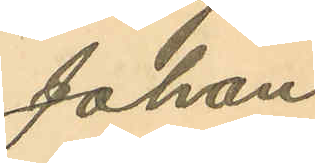Johan
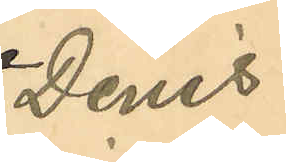Denis
